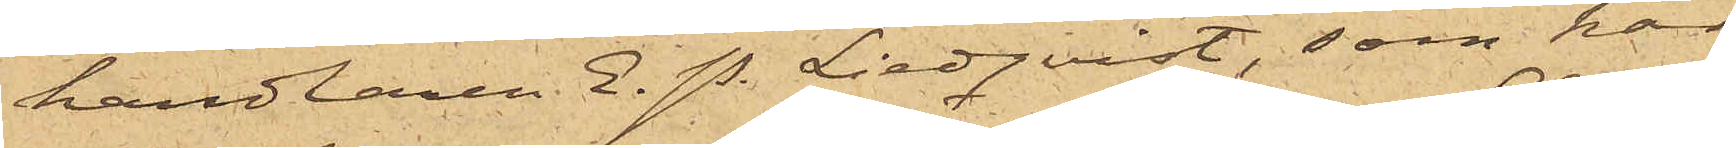handlaren E. P. Lindqvist, som har
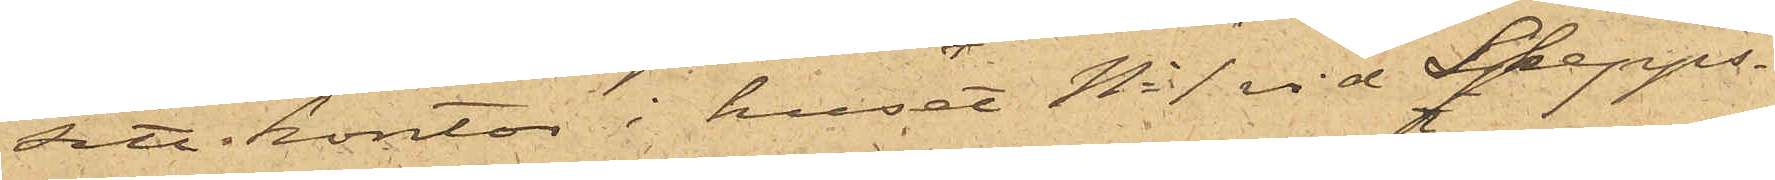sitt kontor i huset No 1 vid Skepps¬
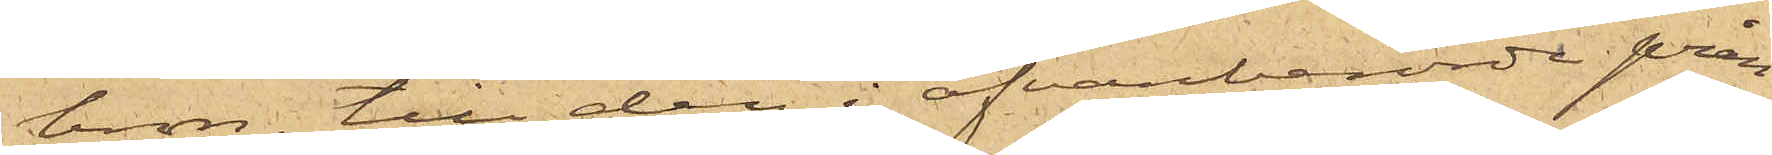bron, till den i ofvanberörde pråm
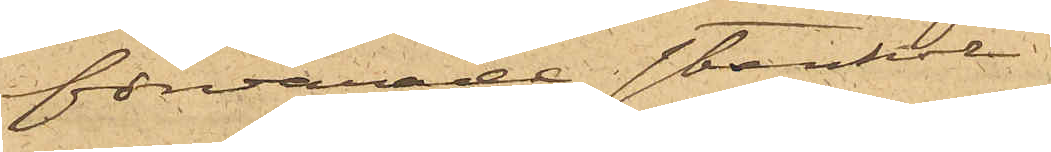förvarade stenkol.
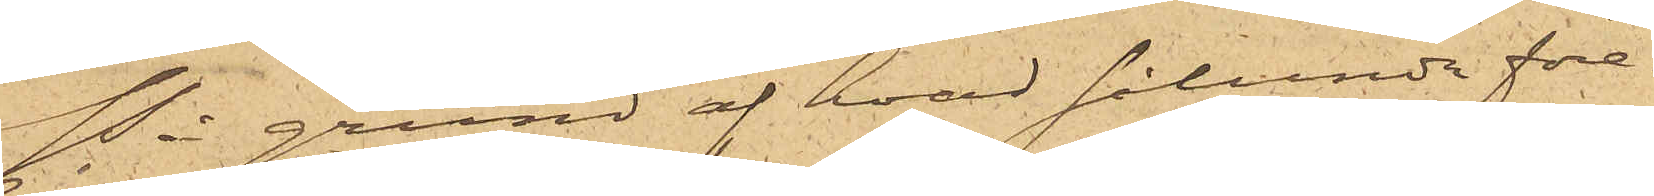På grund af hvad sålunda före¬
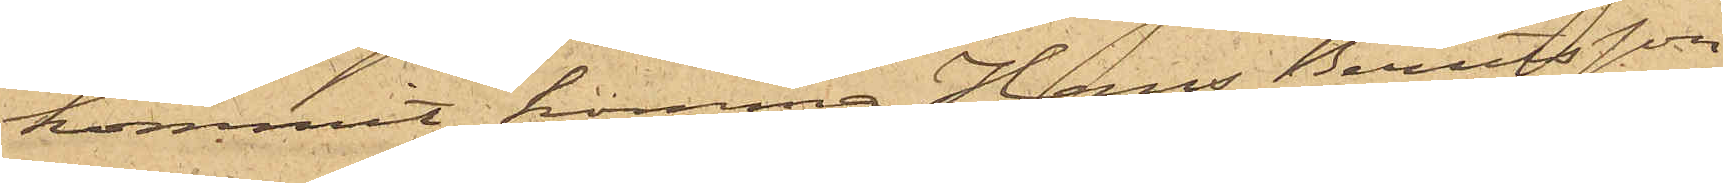kommit, komma Hans Berndtsson
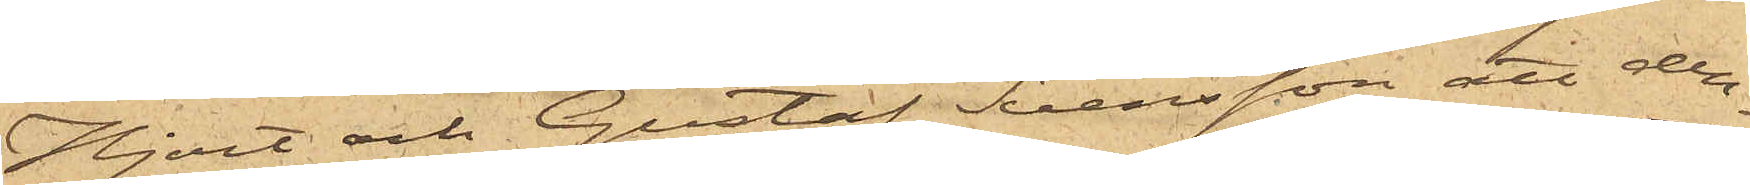Hjort och Gustaf Svensson att den¬
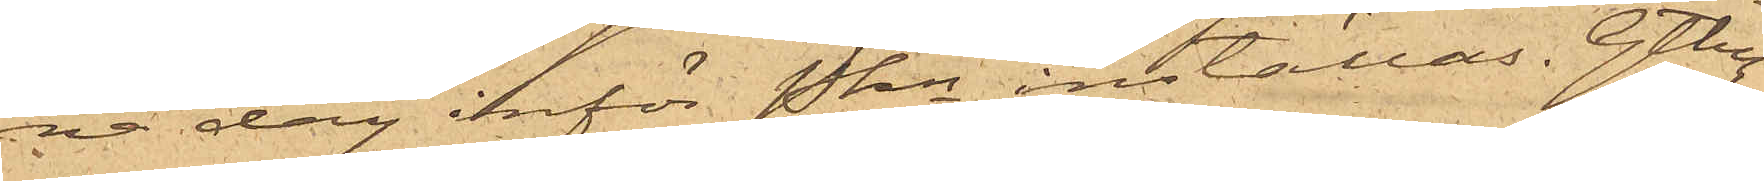na dag inför Pkn inställas. Gtbg
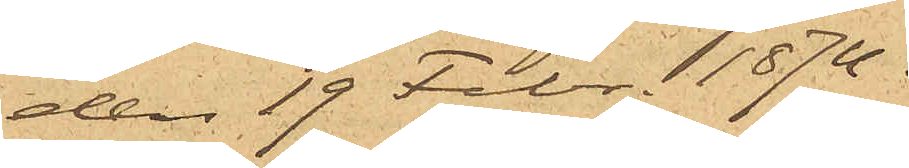den 19 Febr. 1874.
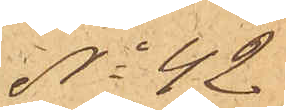No 42
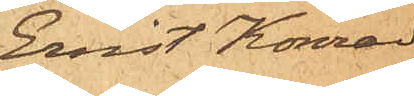Emil Konrad
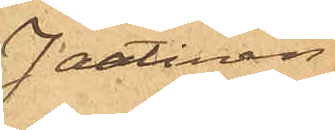Jantinen
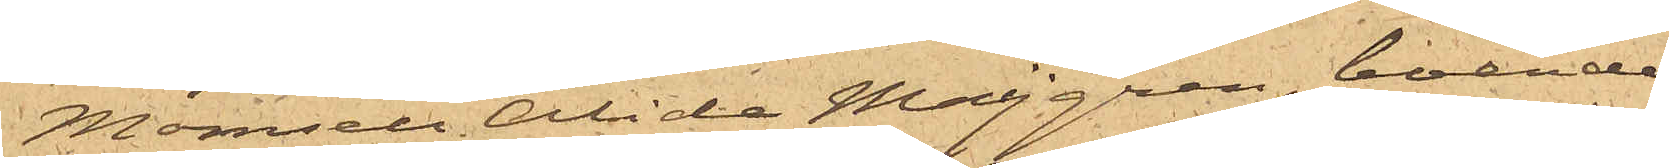Mamsell Alida Maijgren, boende
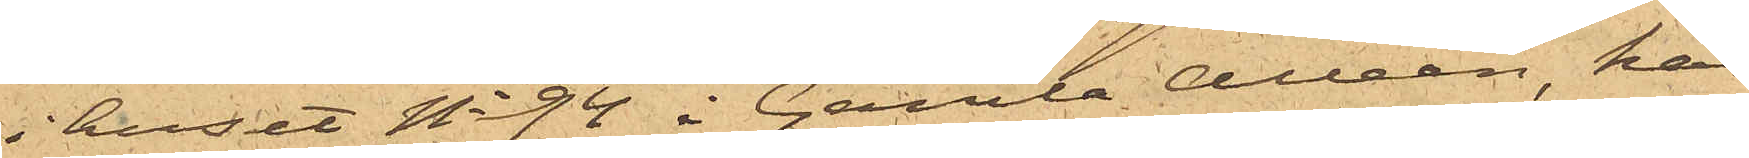i huset No 94 i Gamla Alléen, har
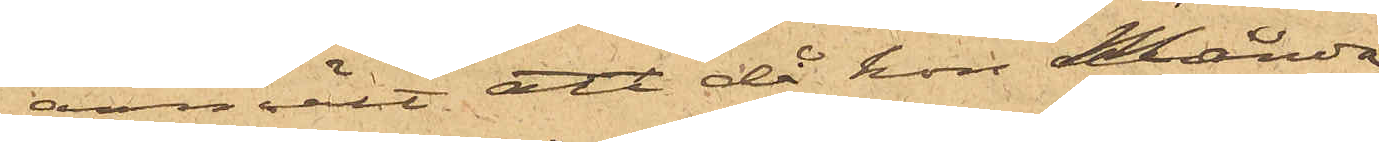anmält att då hon Månda¬
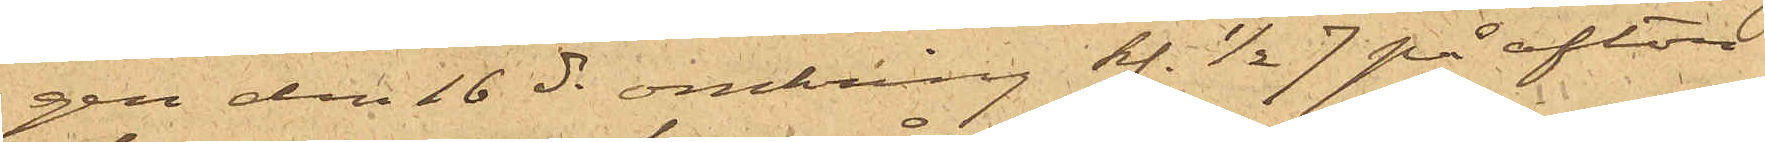gen den 16 ds omkring kl. ½ 7 på afton
